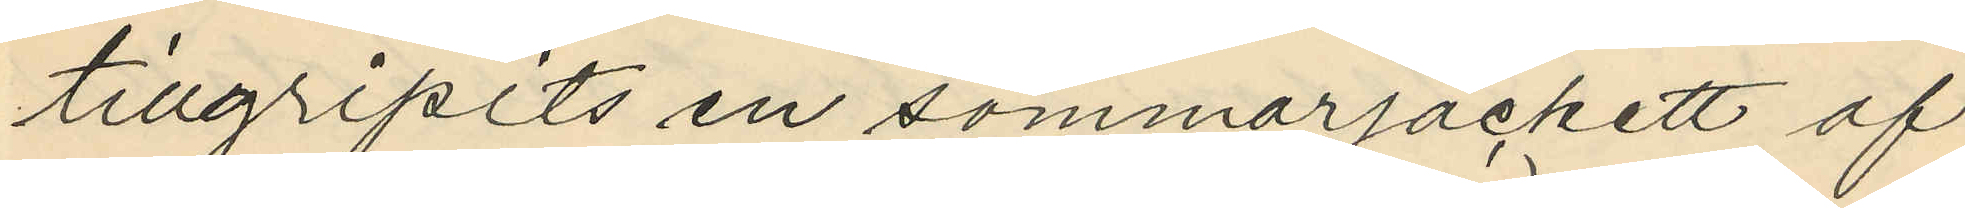tillgripits en sommarjackett af
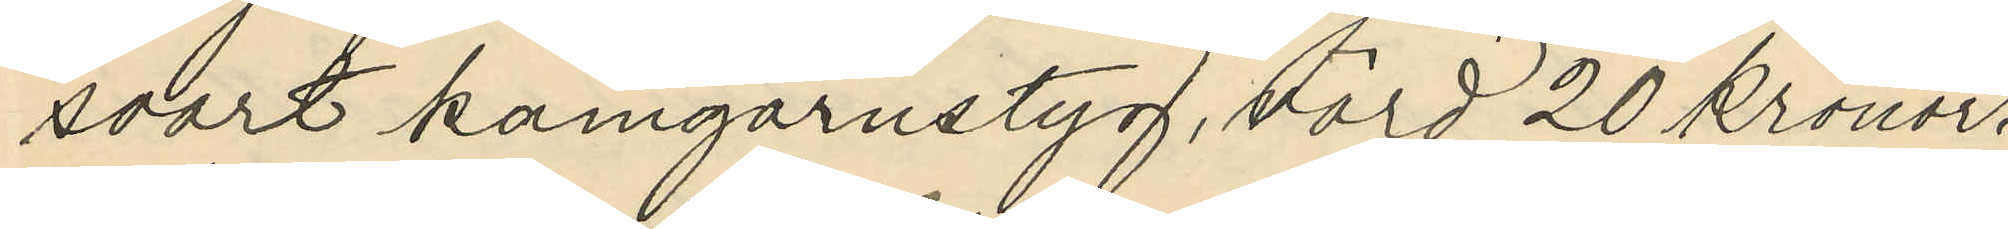svart kamgarnstyg, värd 20 kronor.
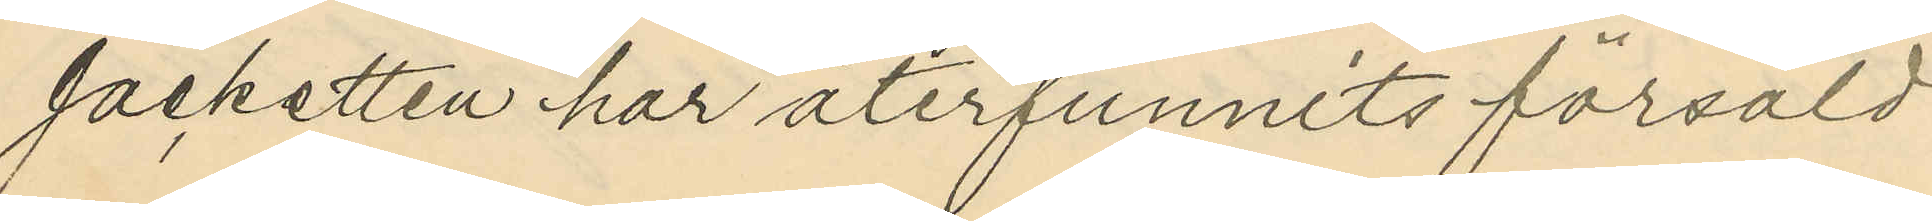Jacketten har återfunnits försåld
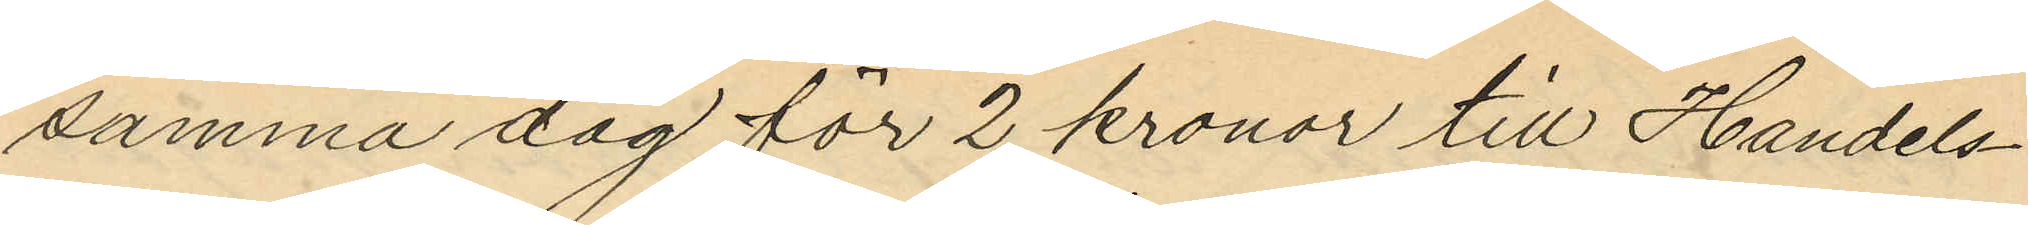samma dag för 2 kronor till Handels¬
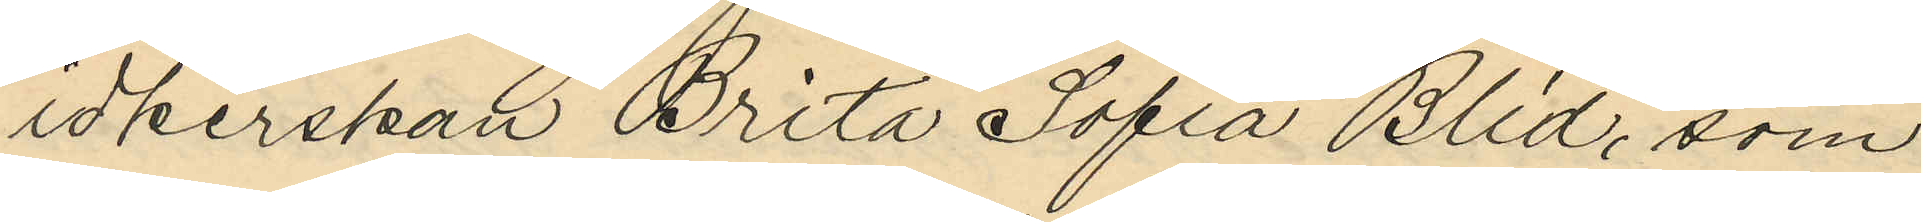idkerskan Brita Sofia Blid, som
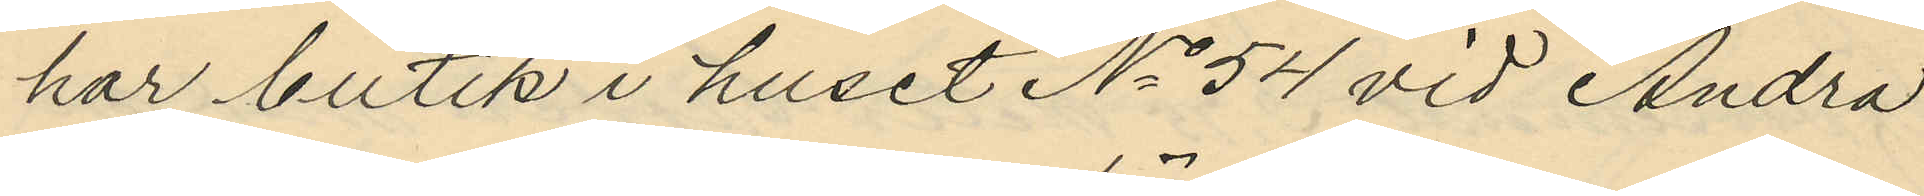har butik i huset No 54 vid Andra
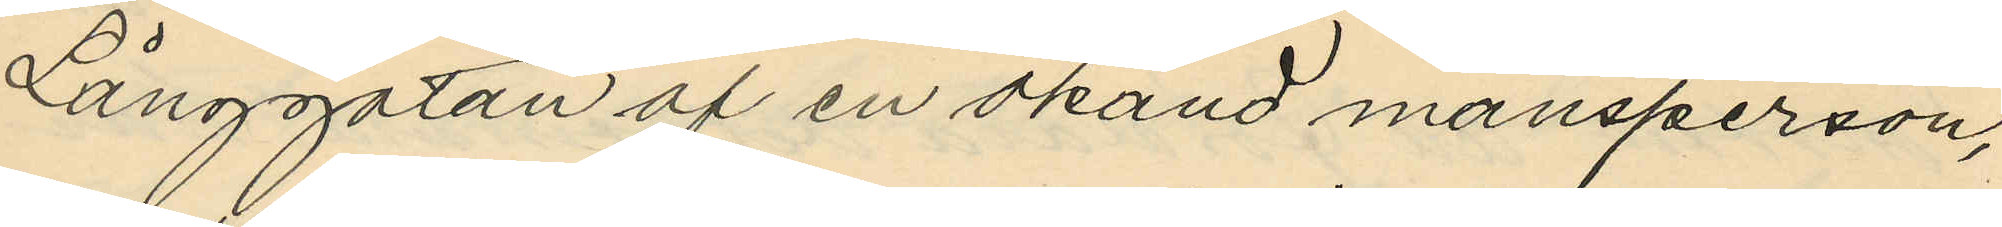Långgatan af en okänd mansperson,
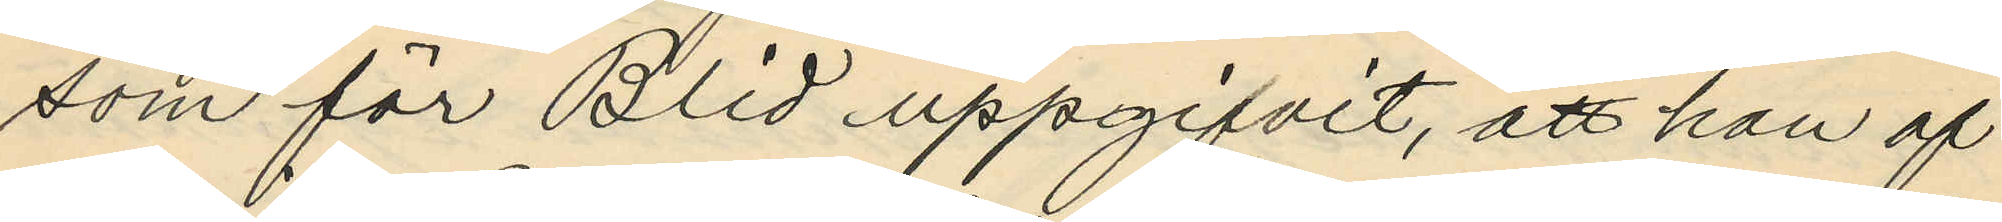som för Blid uppgifvit, att han af
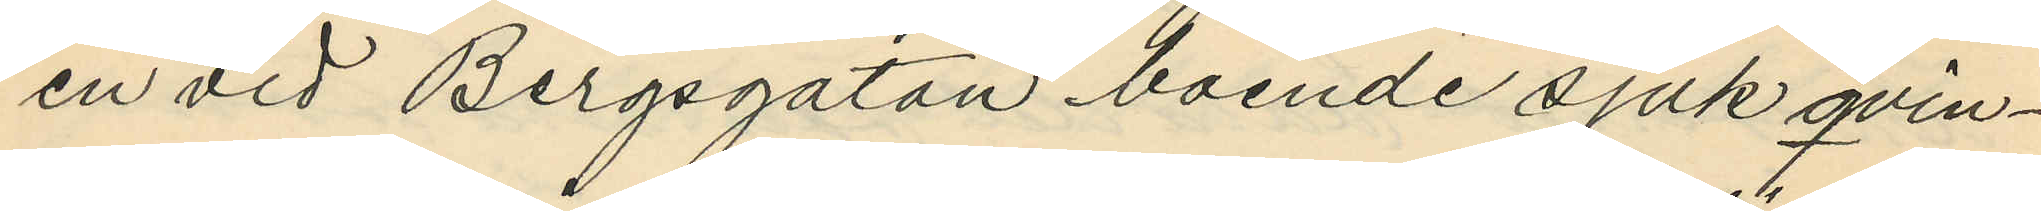en vid Bergsgatan boende sjuk qvin¬
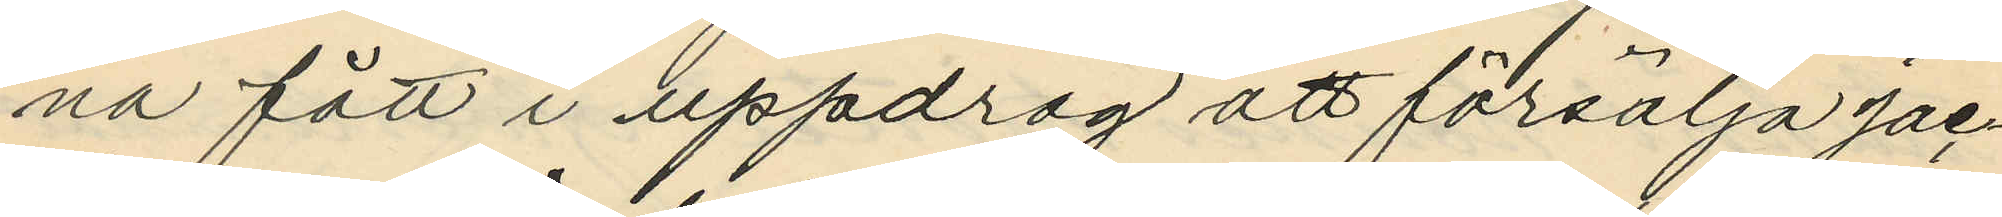na fått i uppdrag att försälja jac¬
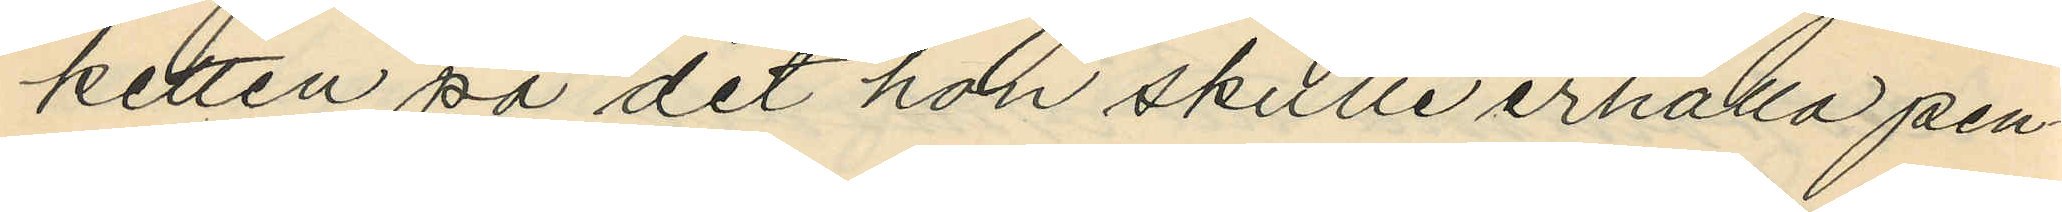ketten på det hon skulle erhålla pen¬
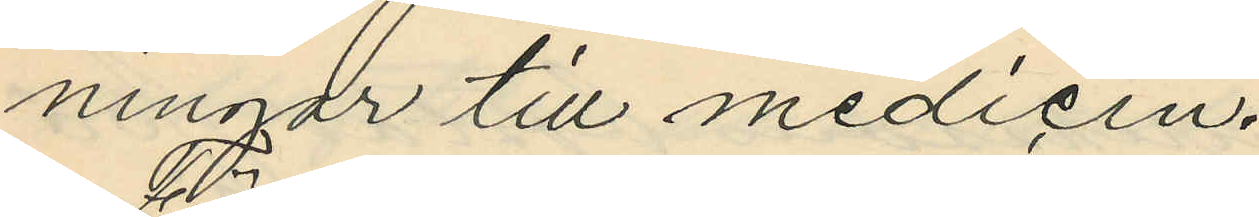ningar till medicin.
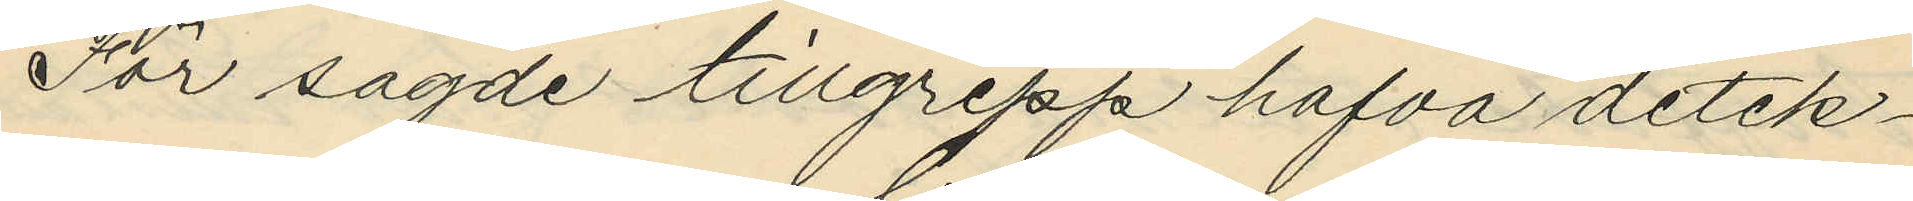För sagde tillgrepp hafva detek¬
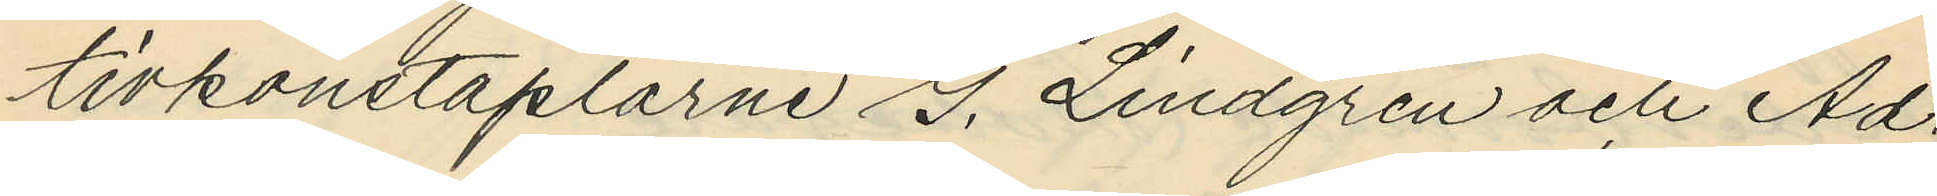tivkonstaplarne G. Lindgren och Ad.
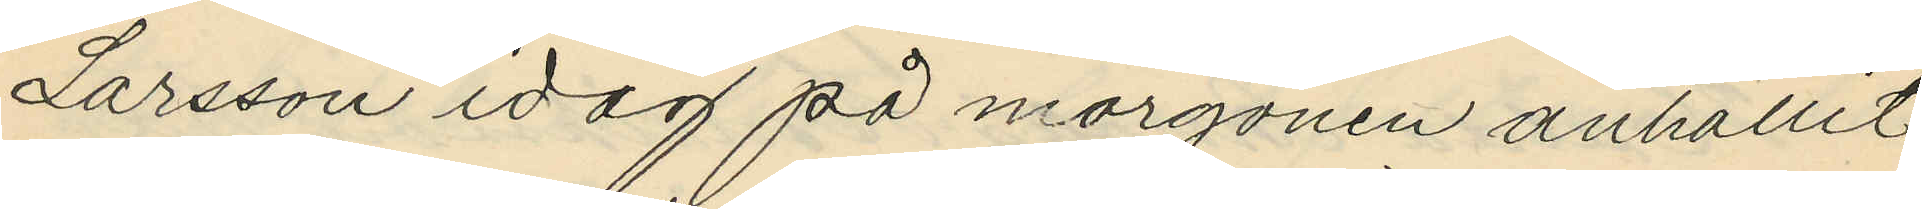Larsson idag på morgonen anhållit
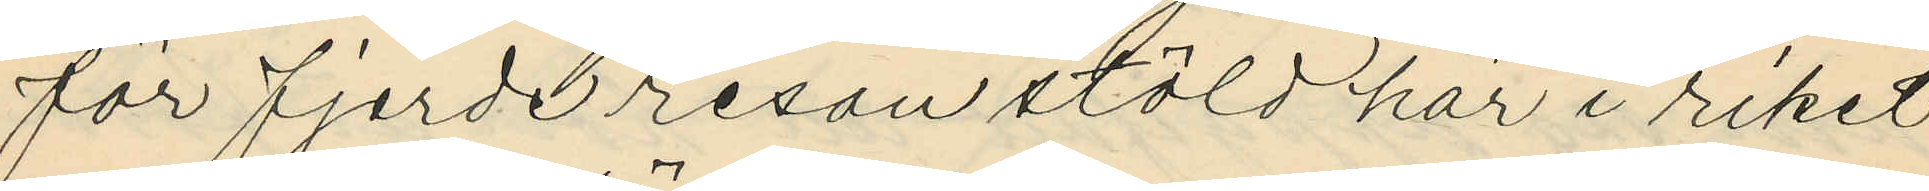för fjerde resan stöld här i riket
